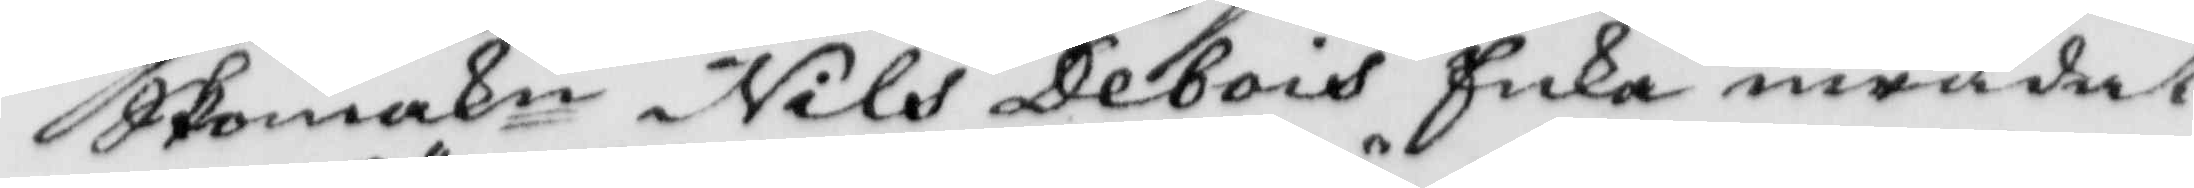Skomakn Nils Debois Enka inrådat
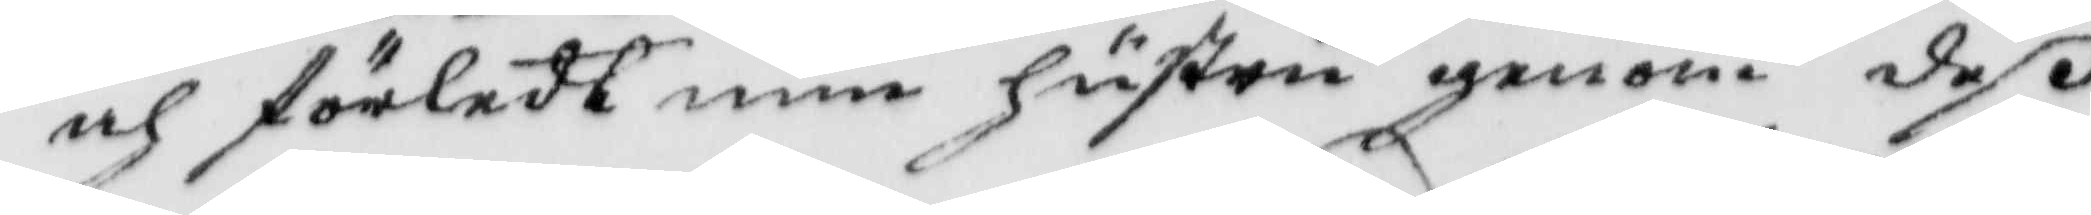och förledt min hustru genom deß
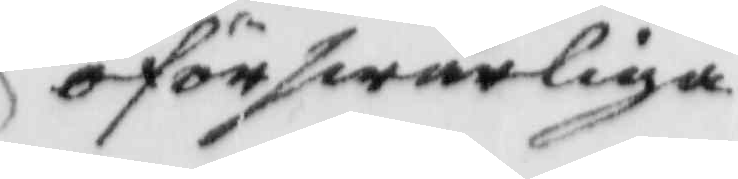öförswarliga
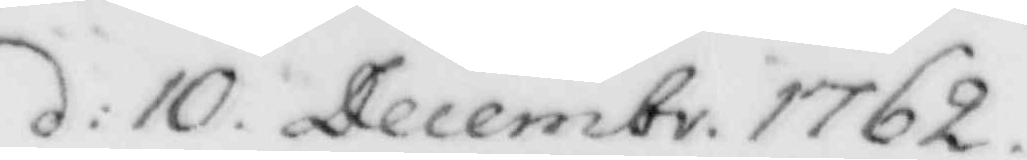d: 10 Decembr. 1762
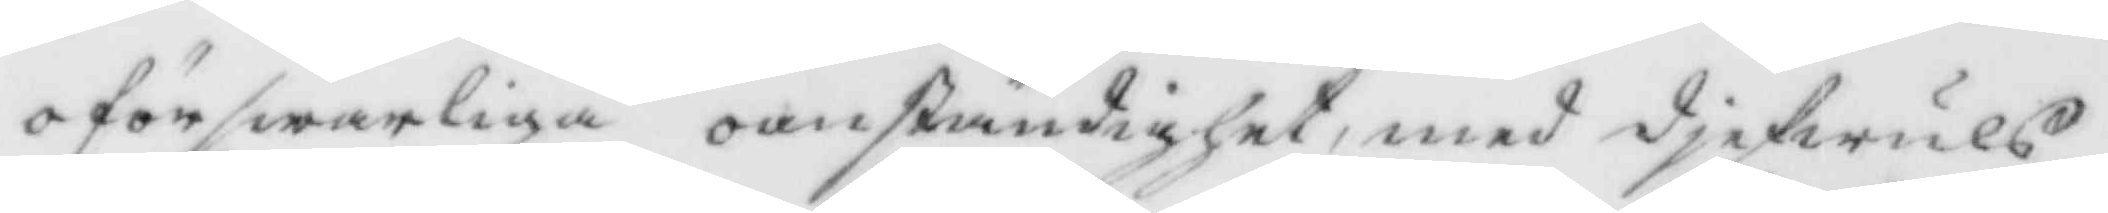oförswarliga oanständighet, med djefwuls¬
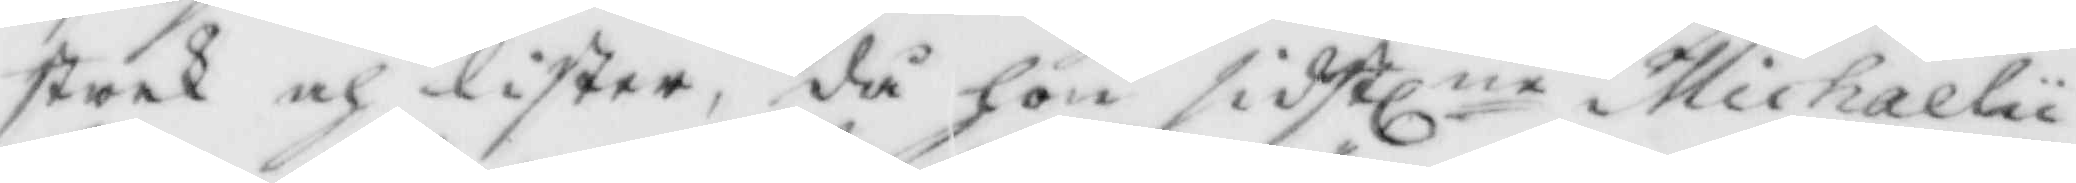strek och lister, då hon sidstlne Michaelii
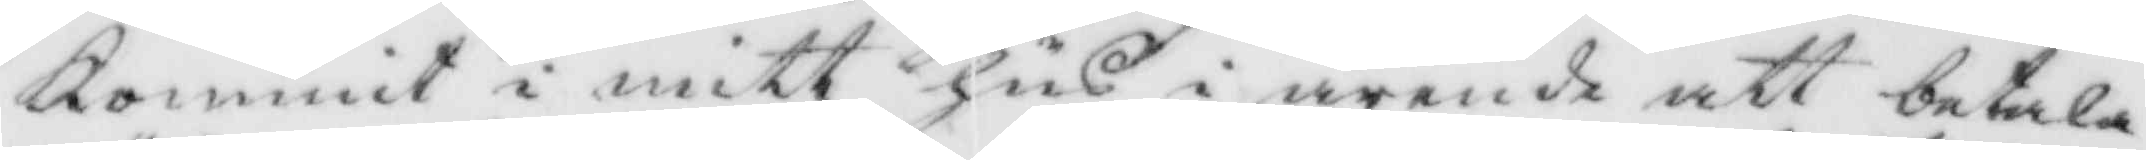kommit i mitt hus i ärende att betala
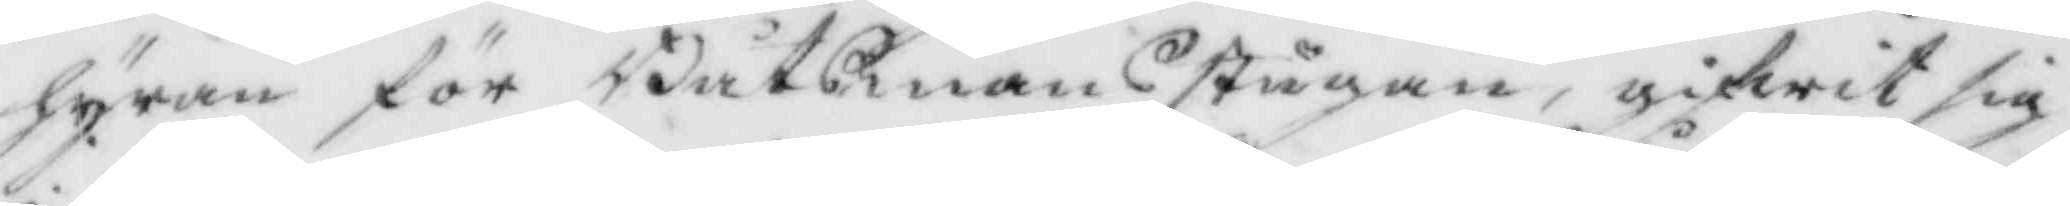hyran för Båtsmansstugan, gifwit sig
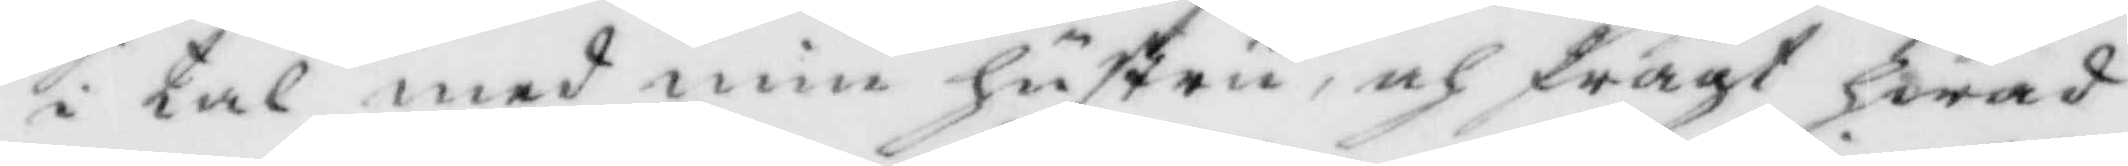i tal med min hustru, och frågt hwad
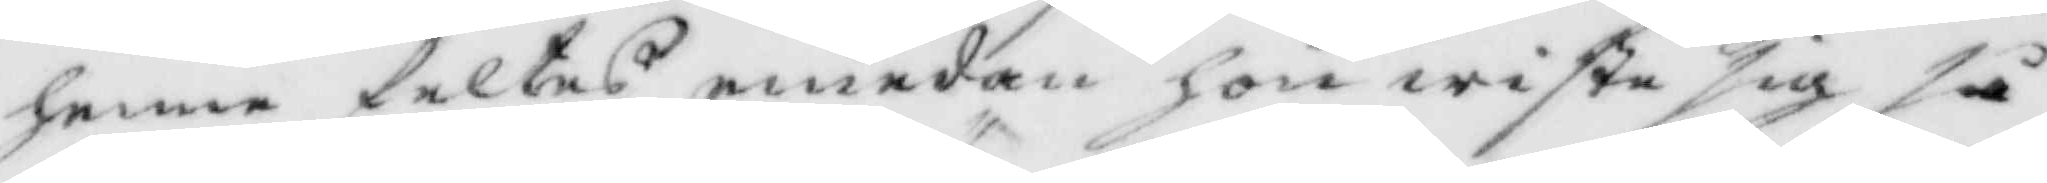henne felats emedan hon wiste sig så
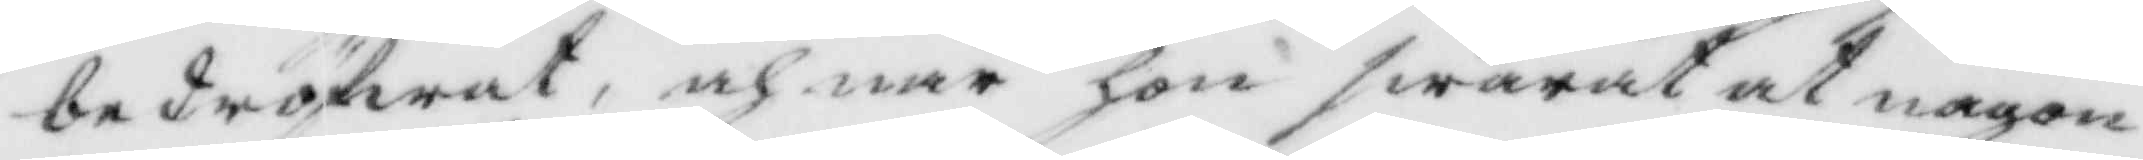bedröfwar, och när hon swarat at någon
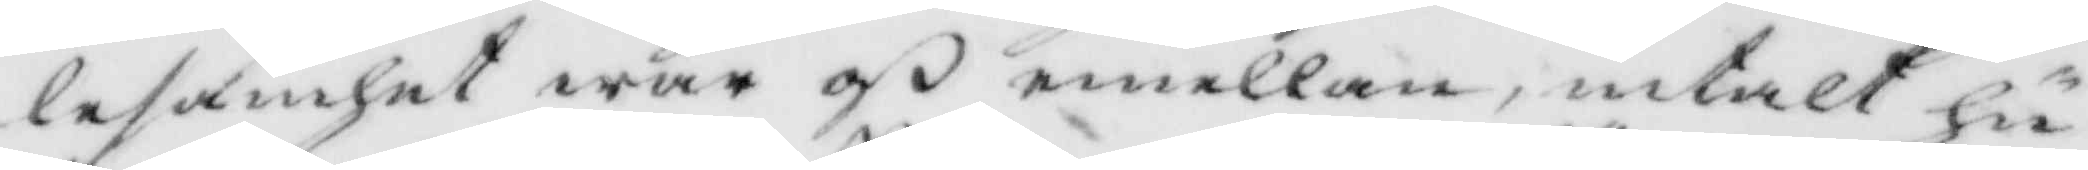lesamhet war oß emellan, intalt hu¬
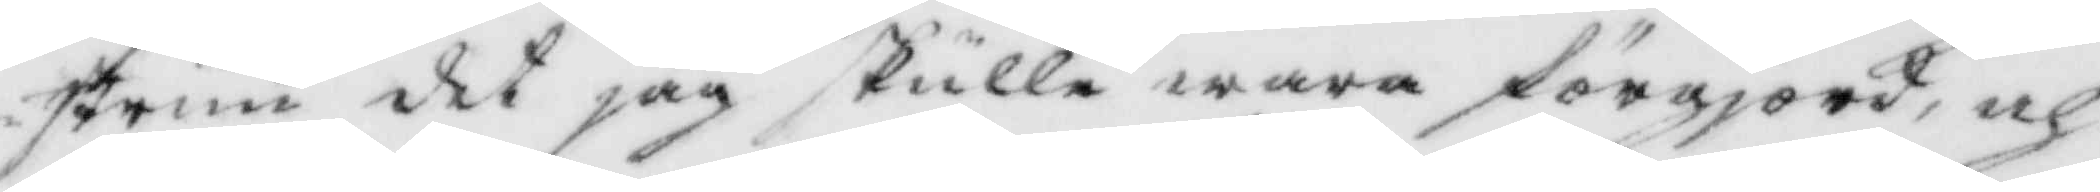strun det jag skulle wara förgjord, och
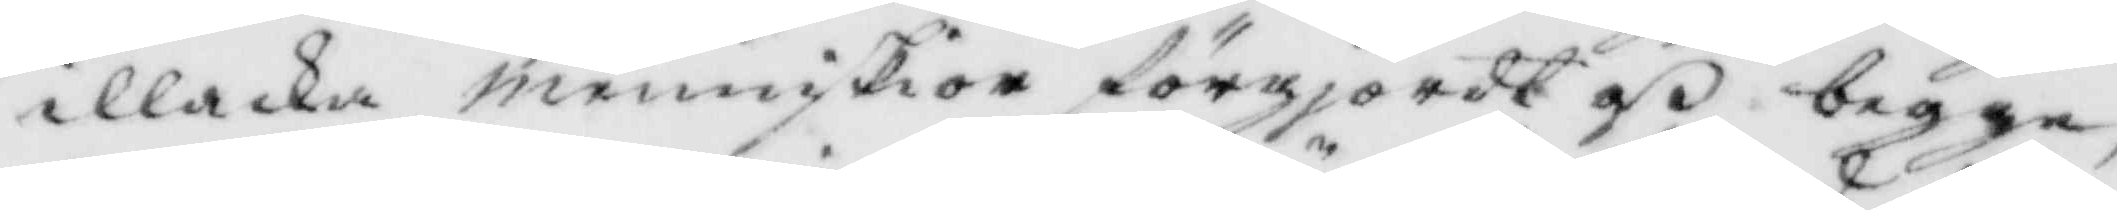illacka menniskior dörgjordt oß begge,
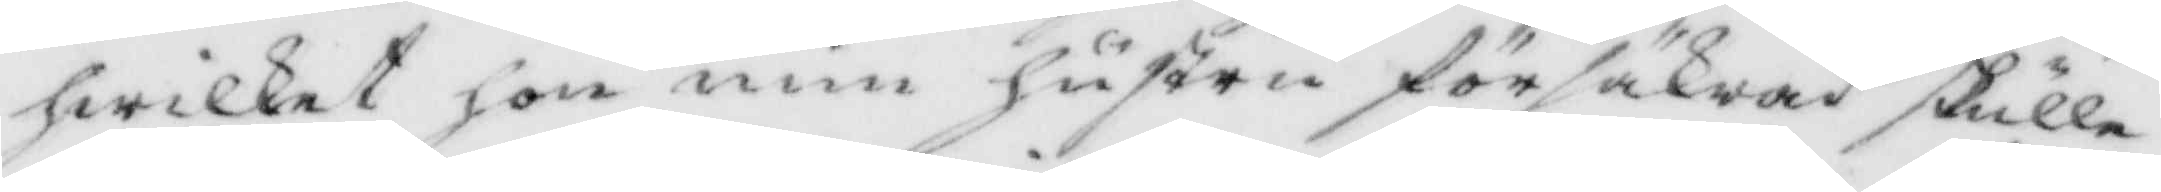hwilket hon min hustru försäkrad skulle
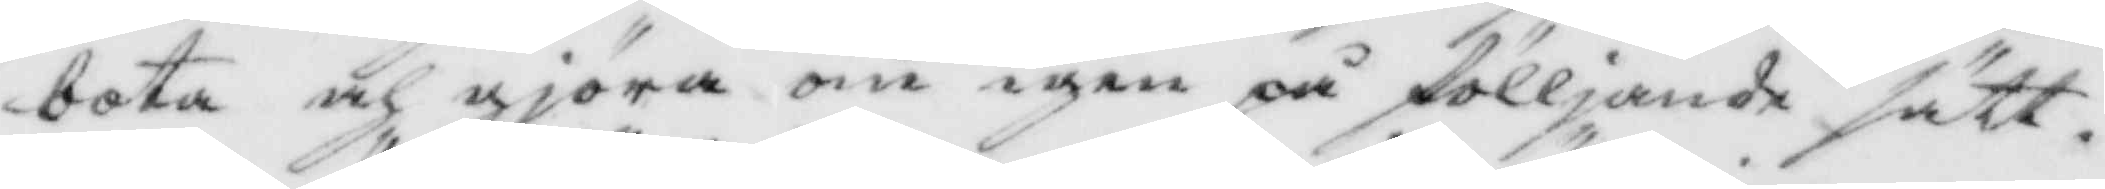bota och gjöra om igen på fölljande sätt.
